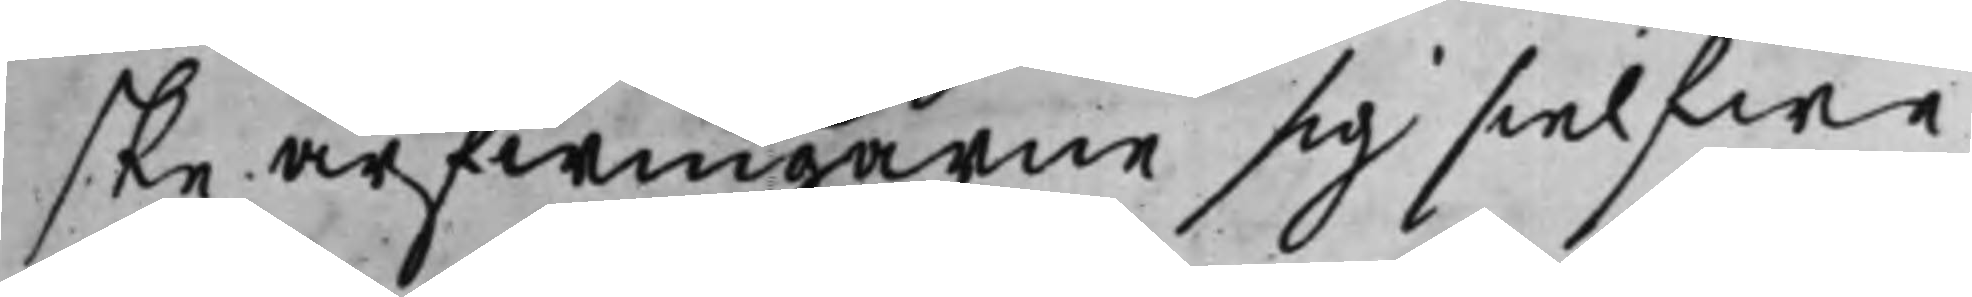ske arfwingarne sig sielfwa
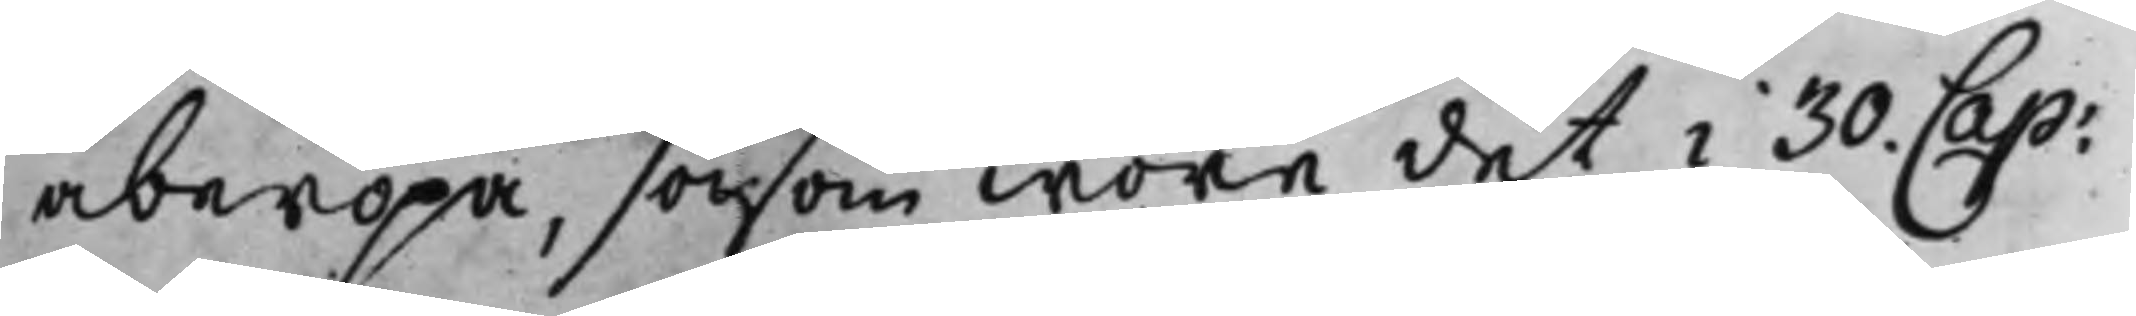åberopa, såsom wore det i 30. Cap:
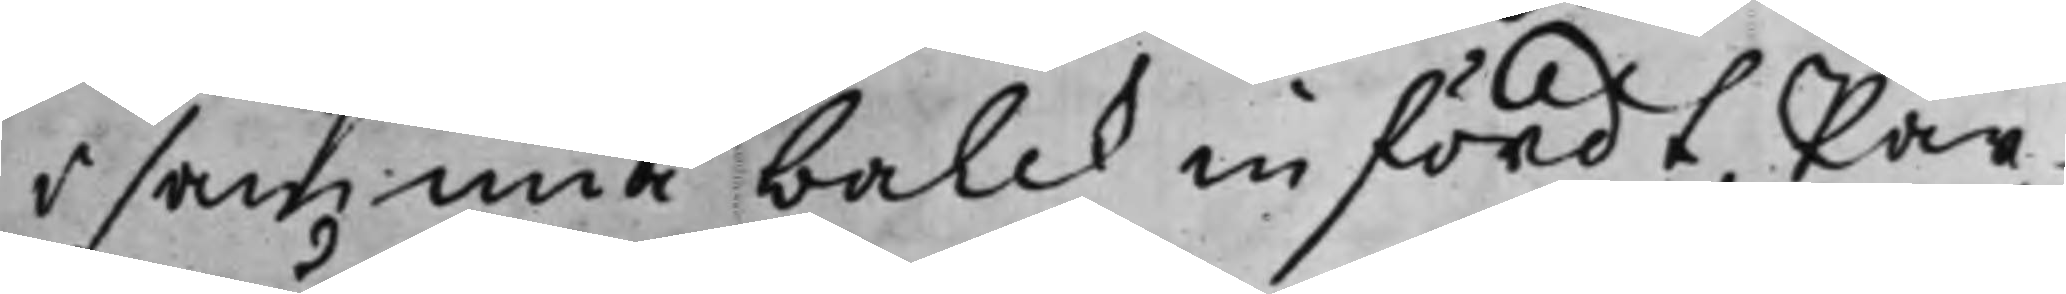i samma balck infördt, Par¬
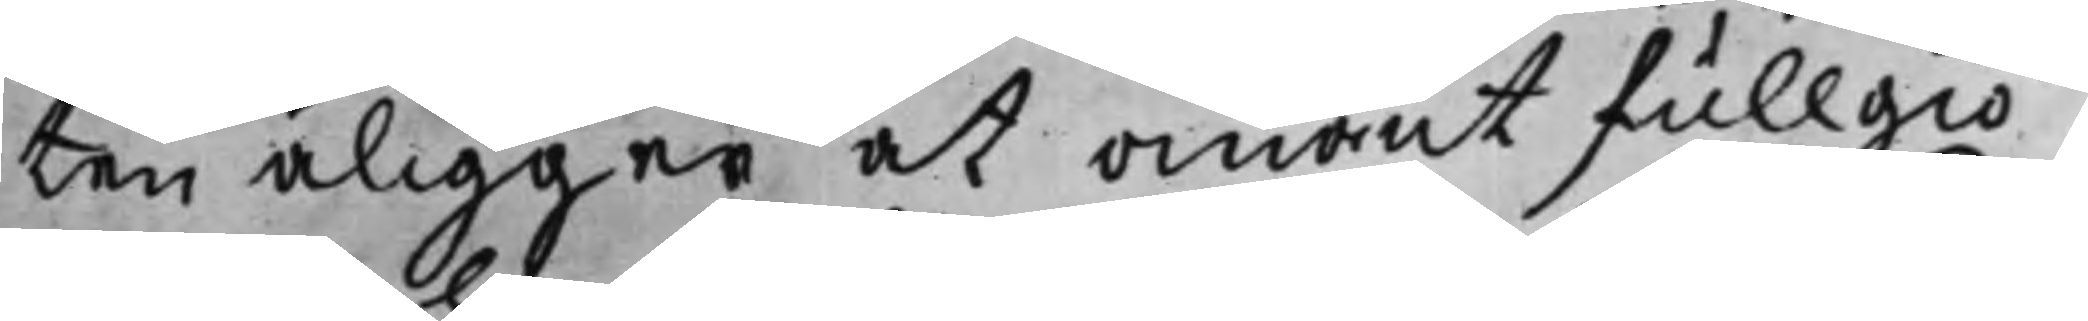ten åligger at omant fullgiö¬
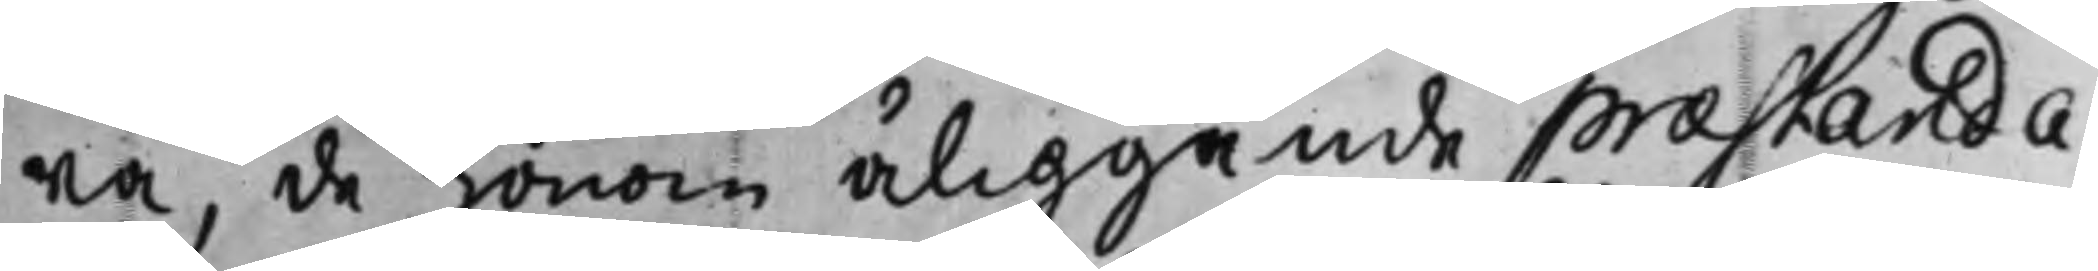ra, de honom åliggande præstanda
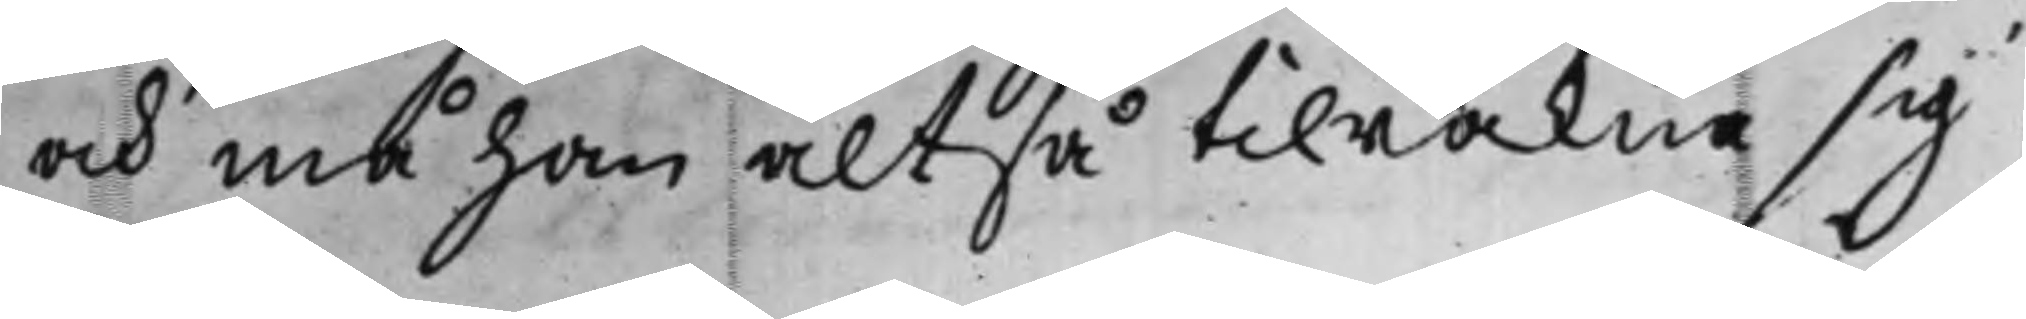och må han altså tilräkna sig
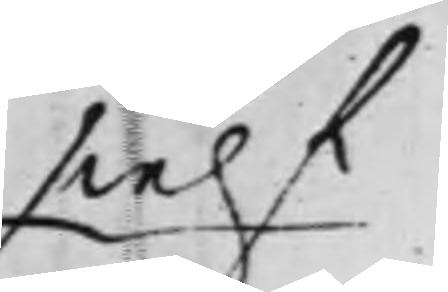sielf
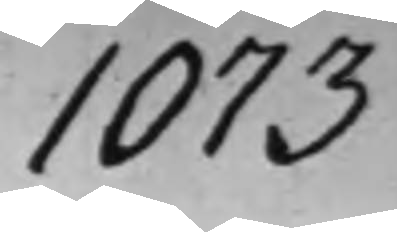1073
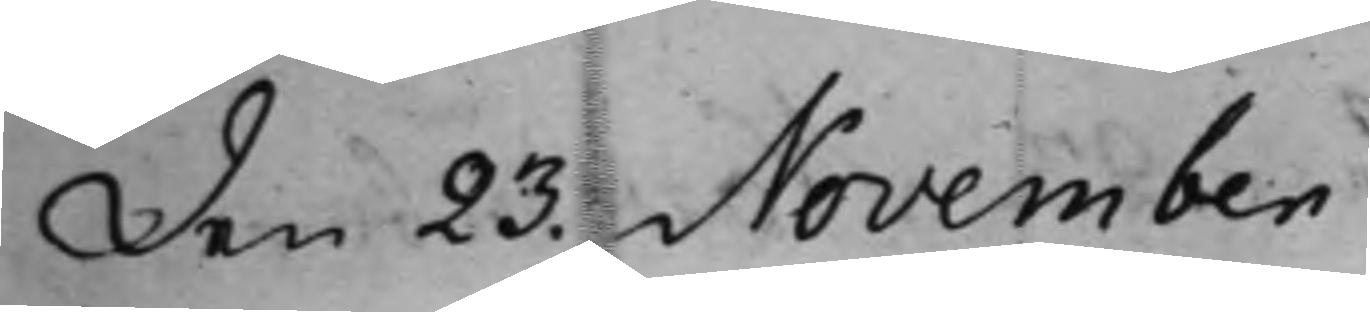den 23. November
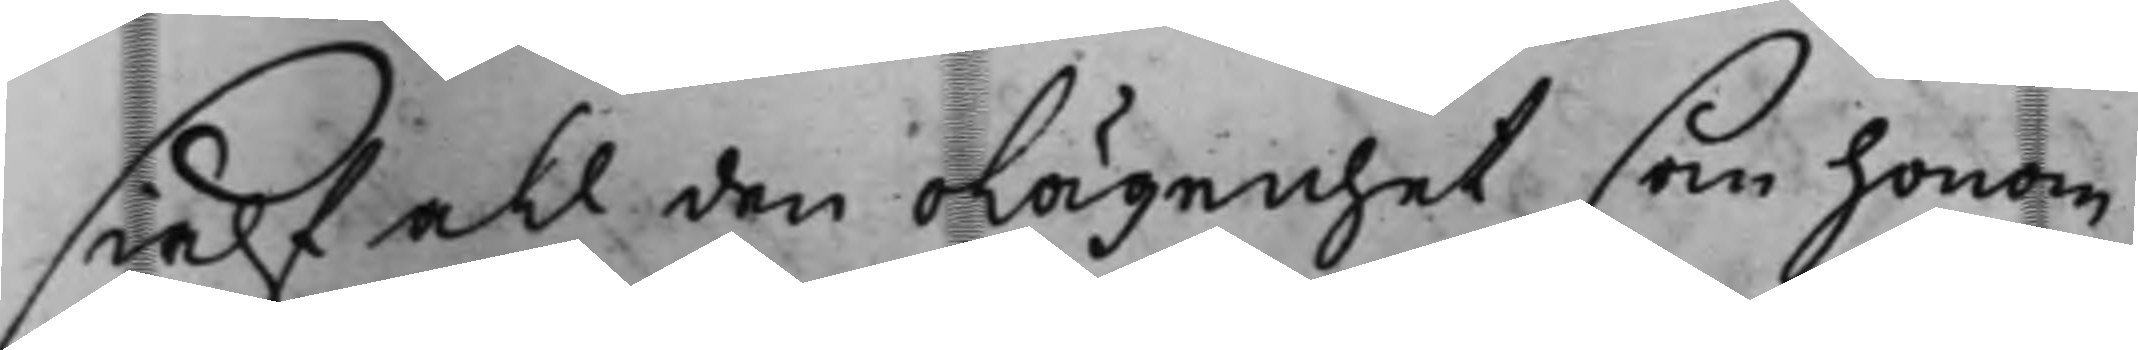sielf all den olägenhet som honom
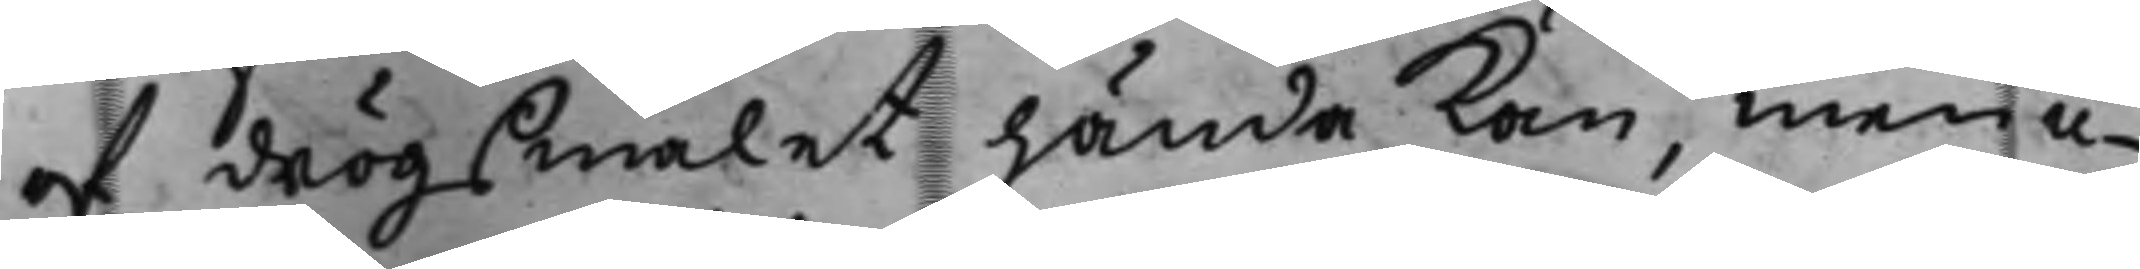af drögsmålet hända kan, men ic¬
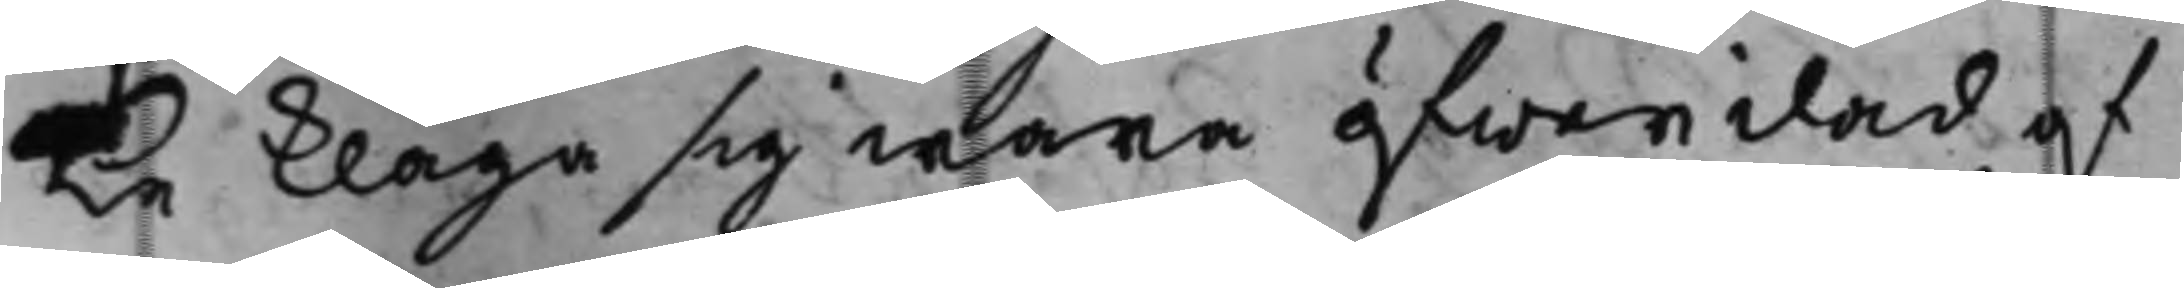ke klaga sig wara öfwerilad af
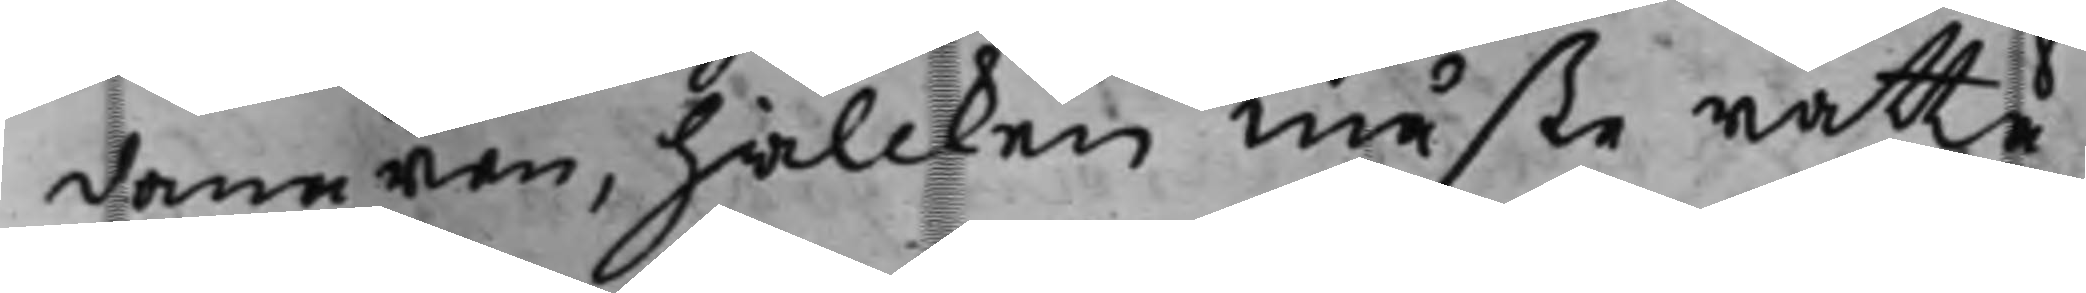domaren, hwilcken måste rätte.
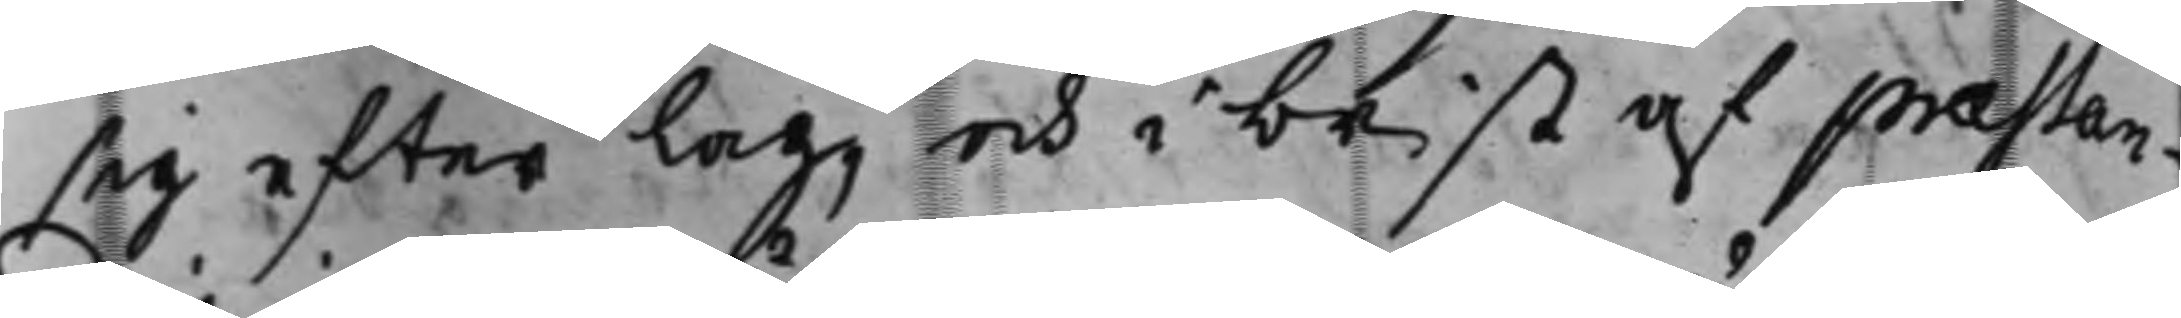sig efter Lag, och i brist af præstan¬
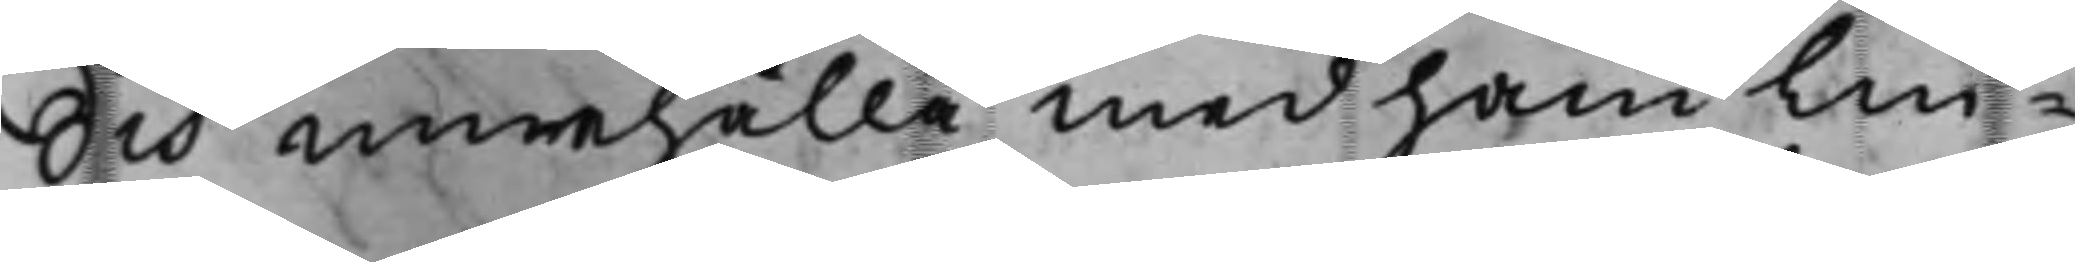dis innehålla med handlin¬
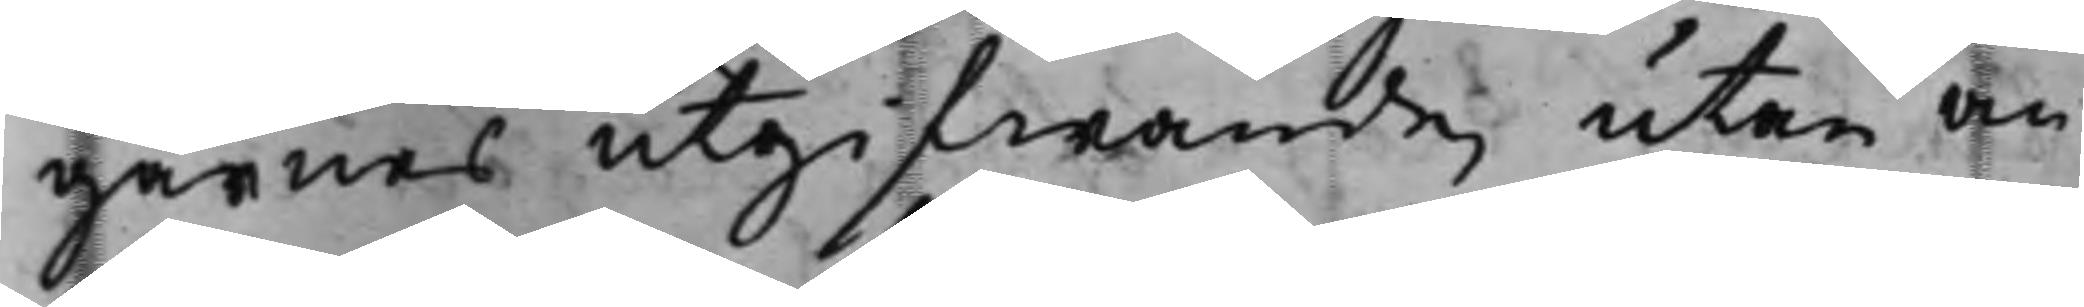garnes utgifwande, utan an¬
